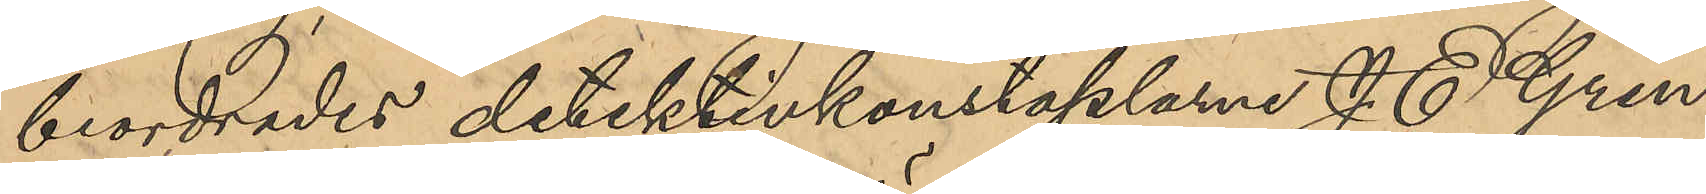beordrades detektivkonstaplarne J. E. Gren
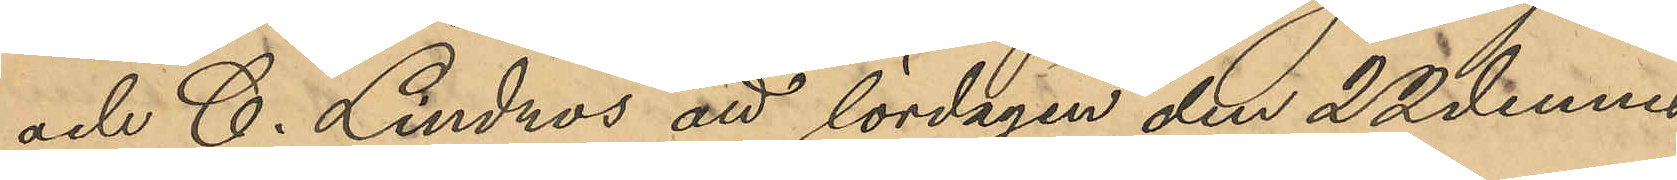och C. Lindros att lördagen den 22 dennes
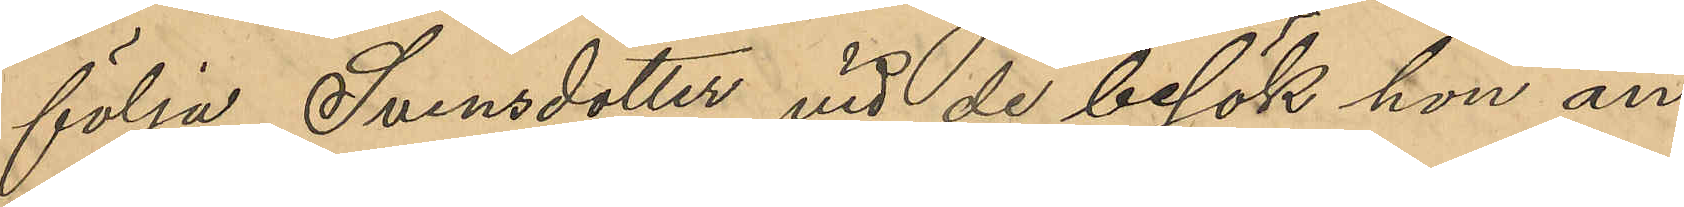följa Svensdotter vid de besök hon an¬
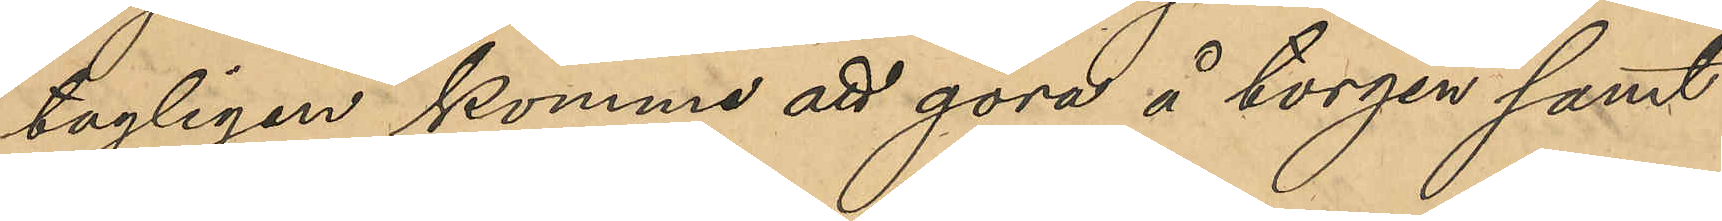tagligen komme att göra å torgen samt
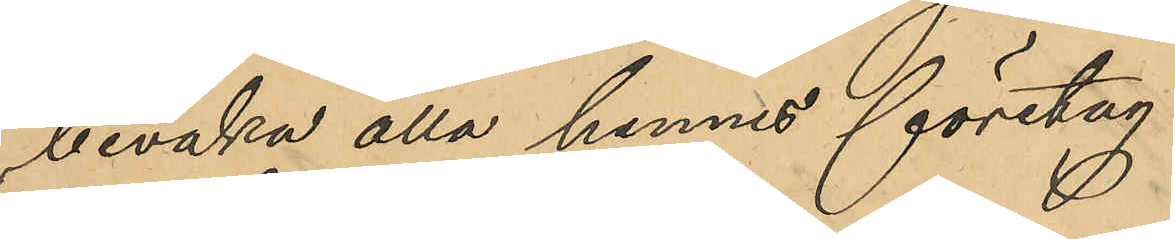bevaka alla hennes företag.
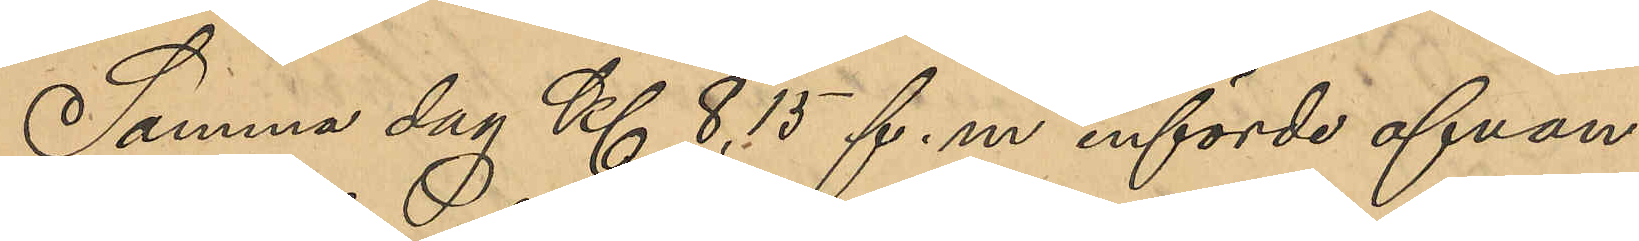Samma dag Kl 8,15 f. m. införde ofvan¬
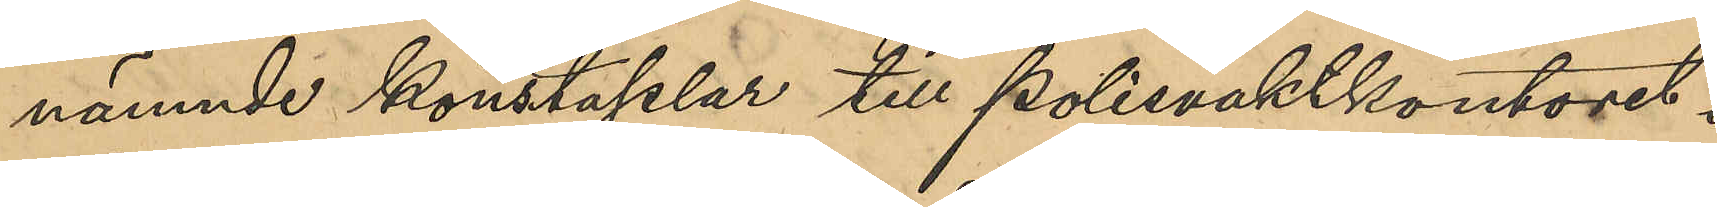nämnde konstaplar till polisvaktkontoret i
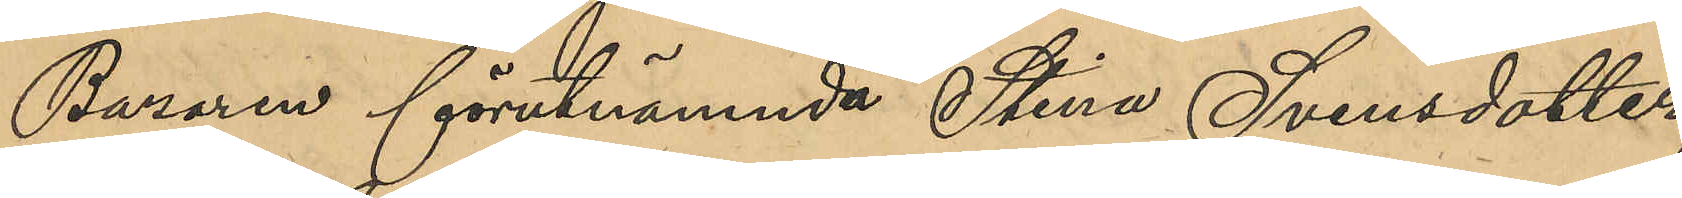Bazaren förutnämnde Stina Svensdotter,
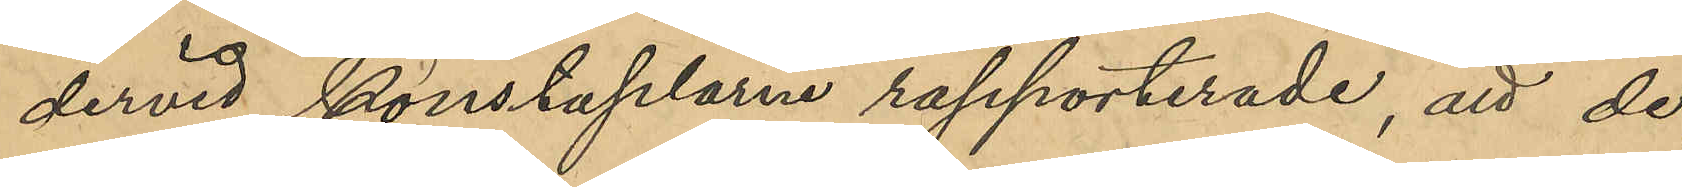dervid konstaplarne rapporterade, att de,
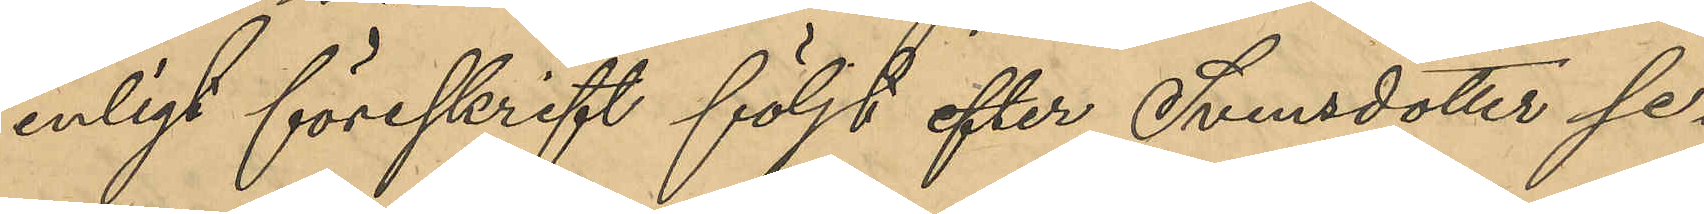enligt föreskrift följt efter Svensdotter se¬
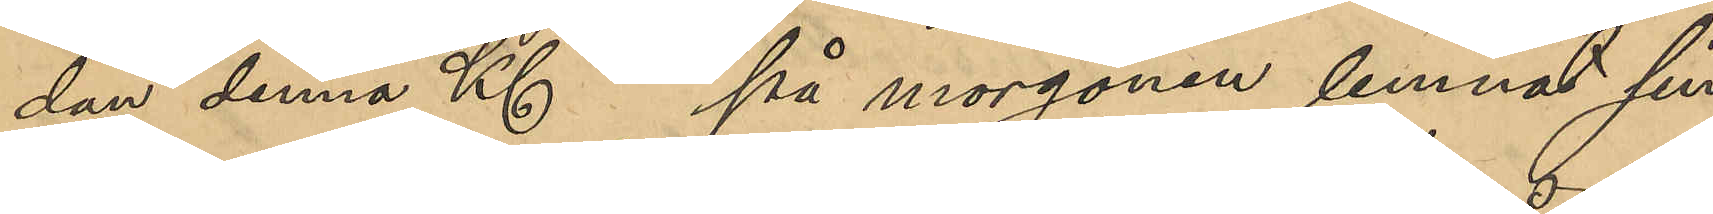dan denna Kl på morgonen lemnat sin
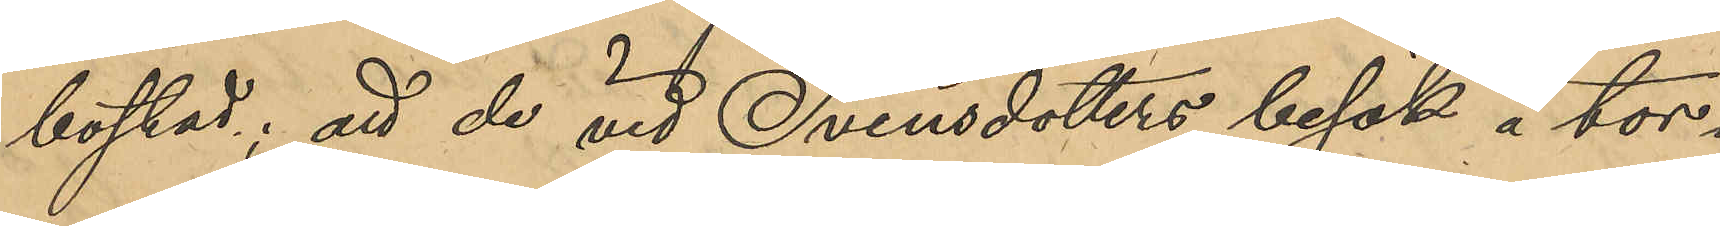bostad; att de vid Svensdotters besök å tor¬
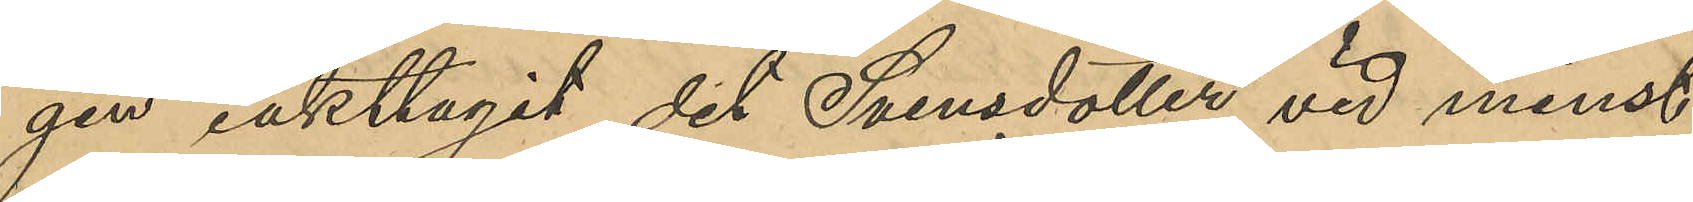gen iakttagit det Svensdotter vid minst
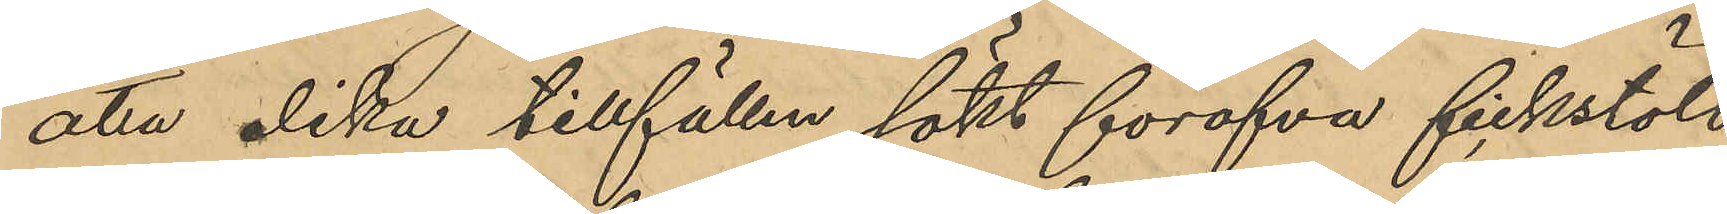åtta olika tillfällen sökt föröfva fickstöld
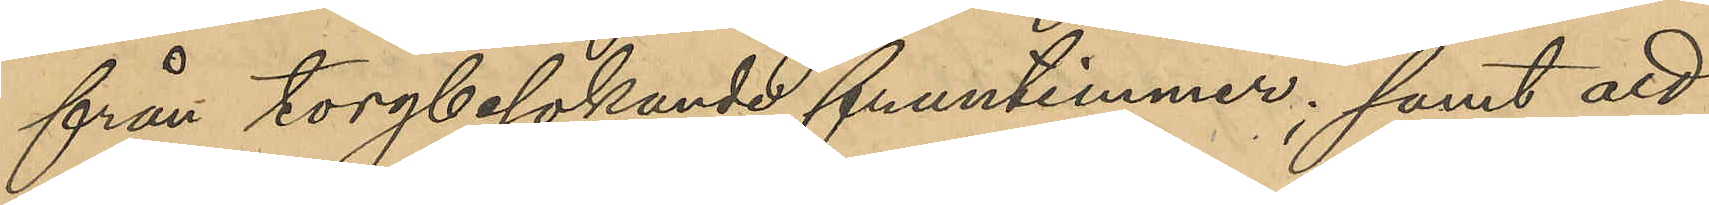från torgbesokande fruntimmer; samt att
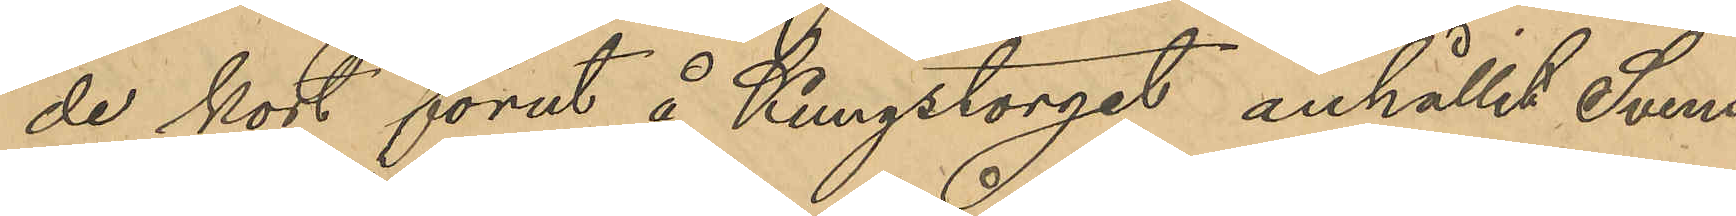de kort förut å Kungstorget anhållit Svens¬
